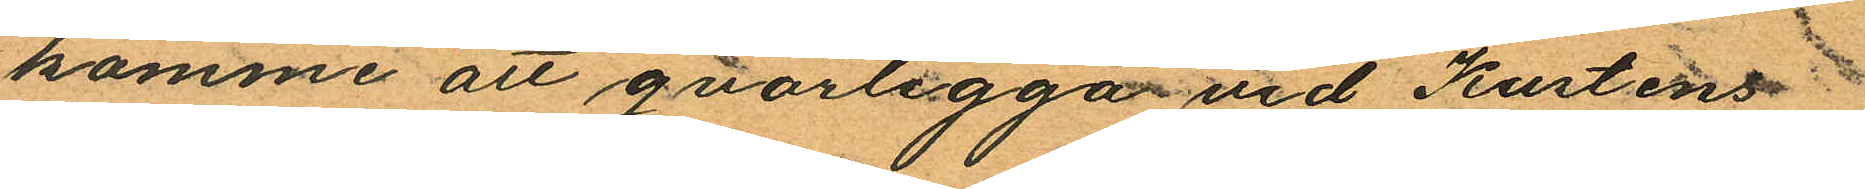komme att qvarligga vid Kustens
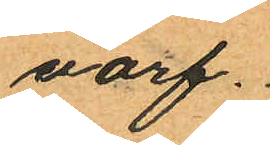varf.
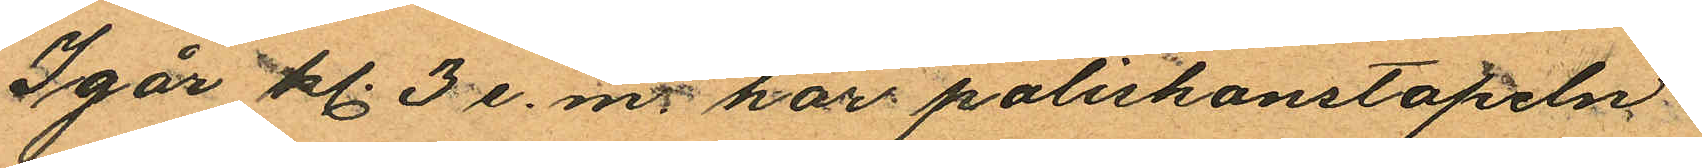Igår kl. 3 e. m. har poliskonstapeln
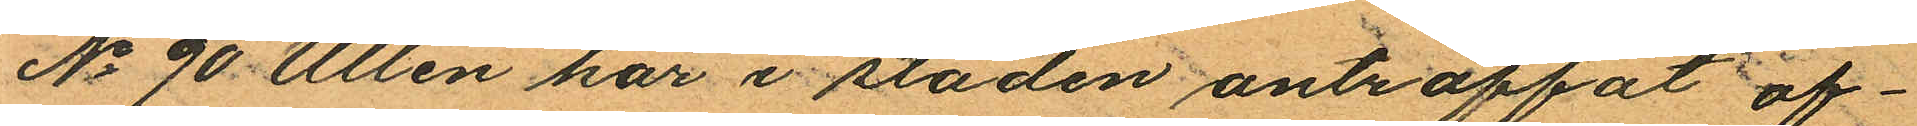No 90 Ullén här i staden anträffat of¬
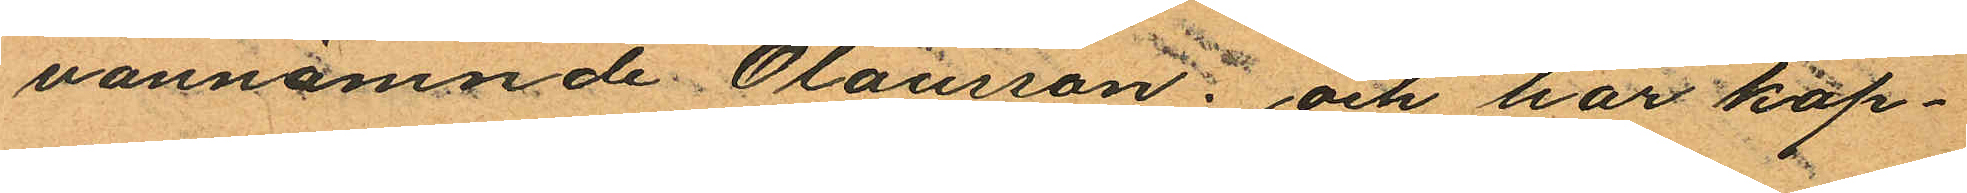vannämnde Olausson; och har kap¬
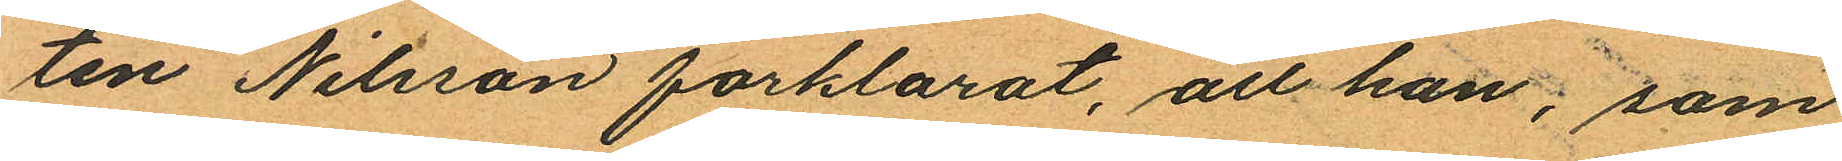ten Nilsson forklarat, att han, som
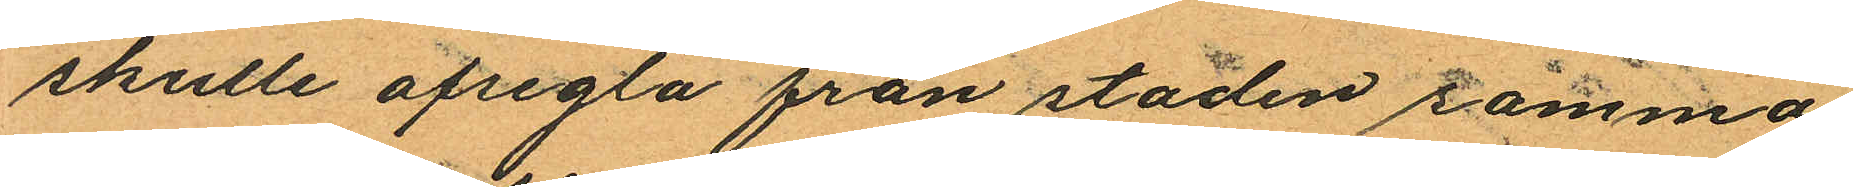skulle afsegla från staden samma
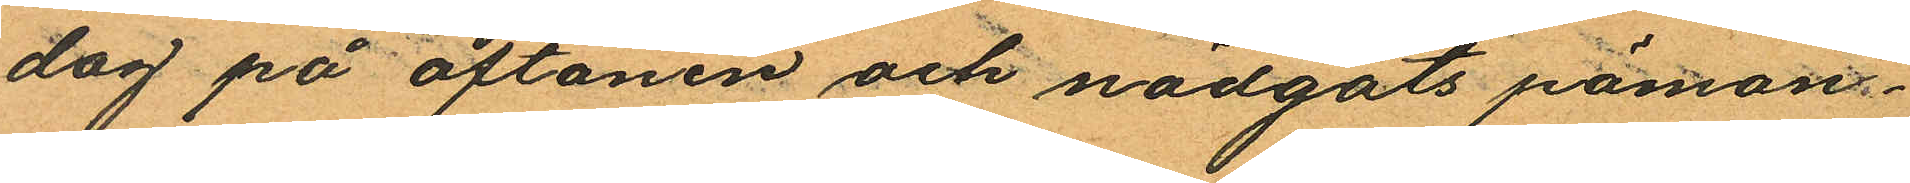dag på aftonen och nödgats påmon¬
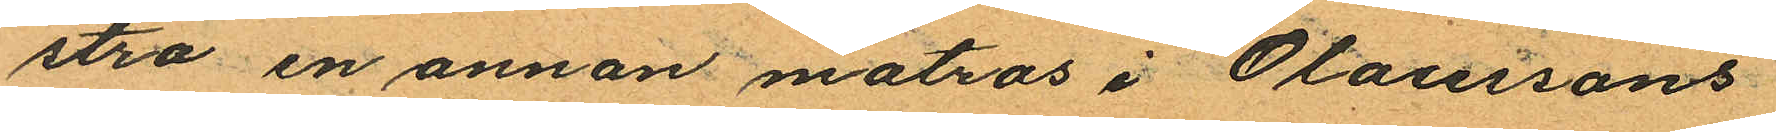stra en annan matros i Olaussons
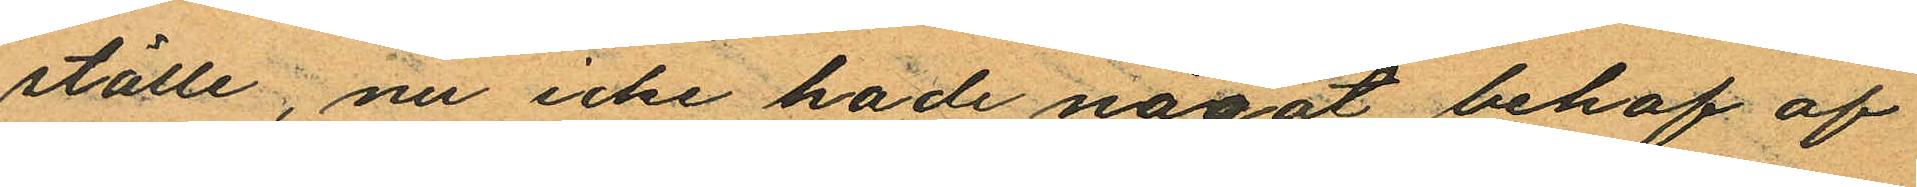ställe, nu icke hade något behof af
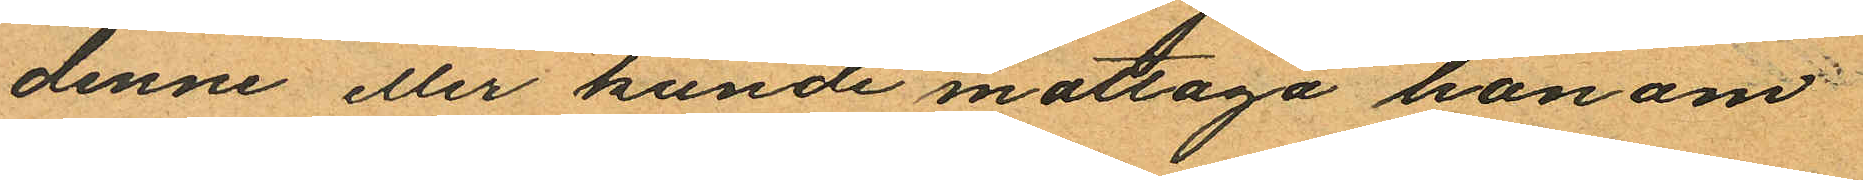denne eller kunde mottaga honom
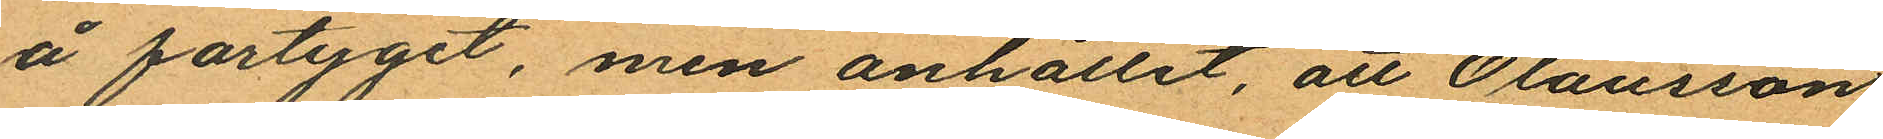å fartyget, men anhållit, att Olausson
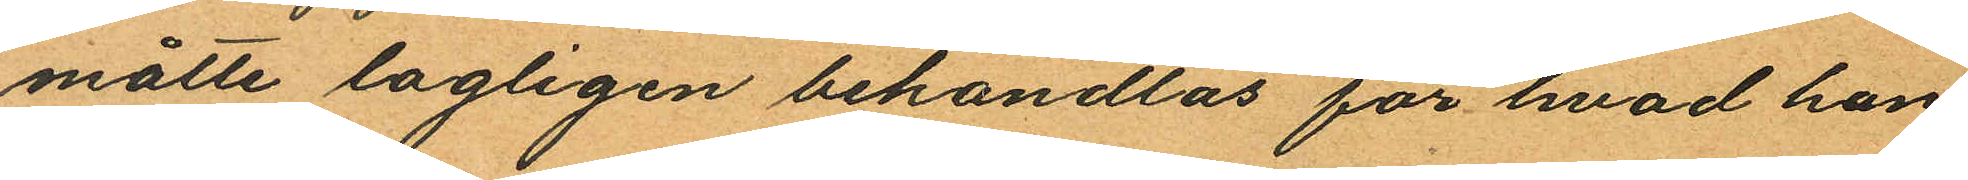måtte lagligen behandlas för hvad han
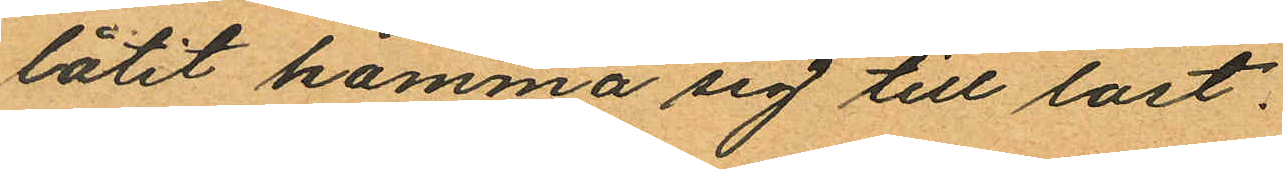låtit komma sig till last.
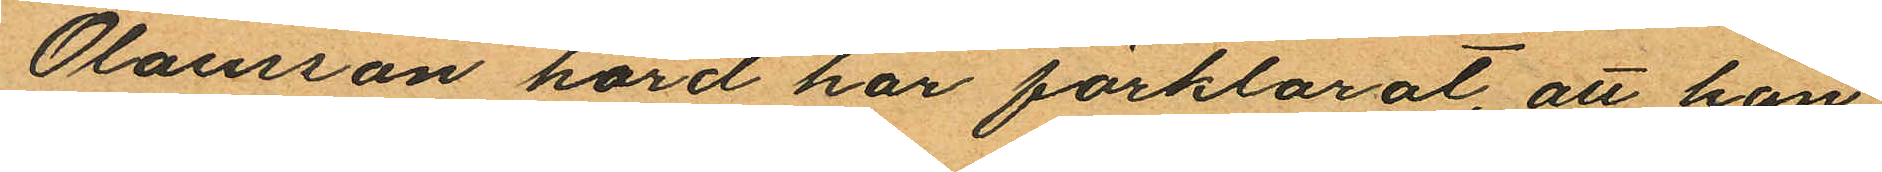Olausson hörd har förklarat, att han
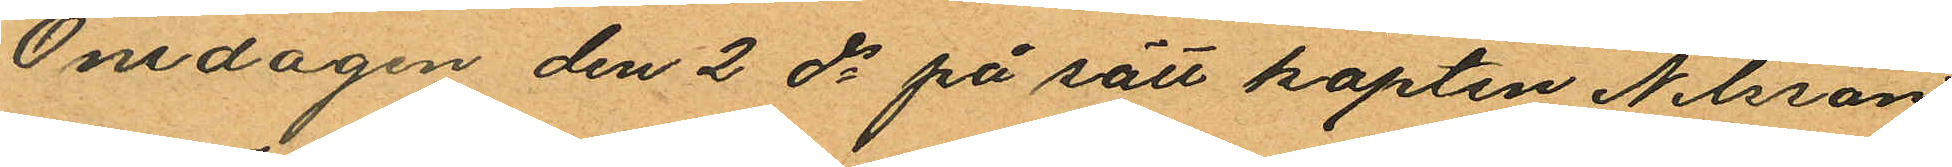Ondagen den 2 ds på sätt kapten Nilsson
